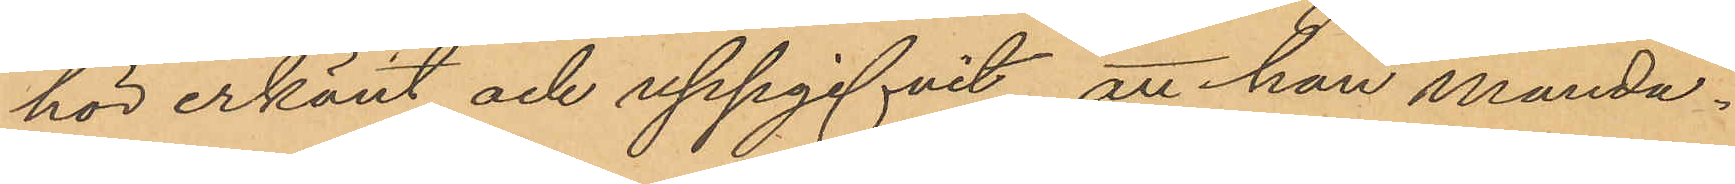hör erkänt och uppgifvit, att han månda¬
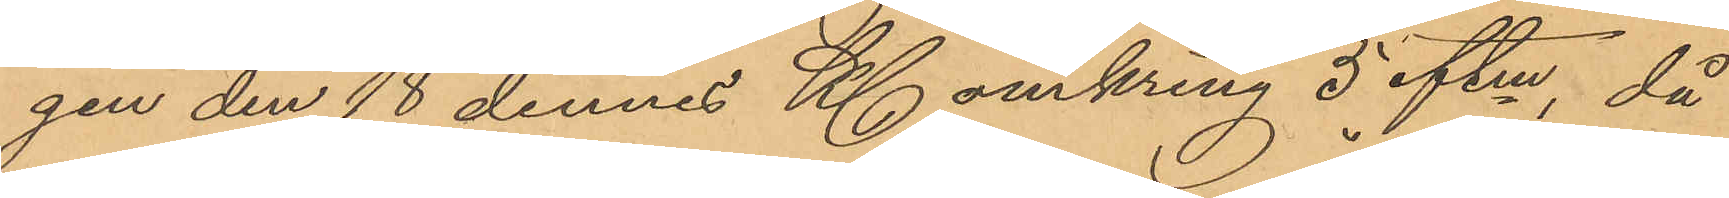gen den 18 dennes Kl omkring 5 eftm, då
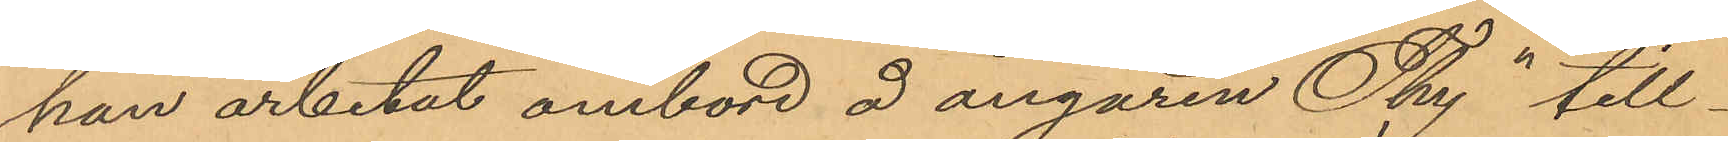han arbetat ombord å ångaren "Thy" till¬
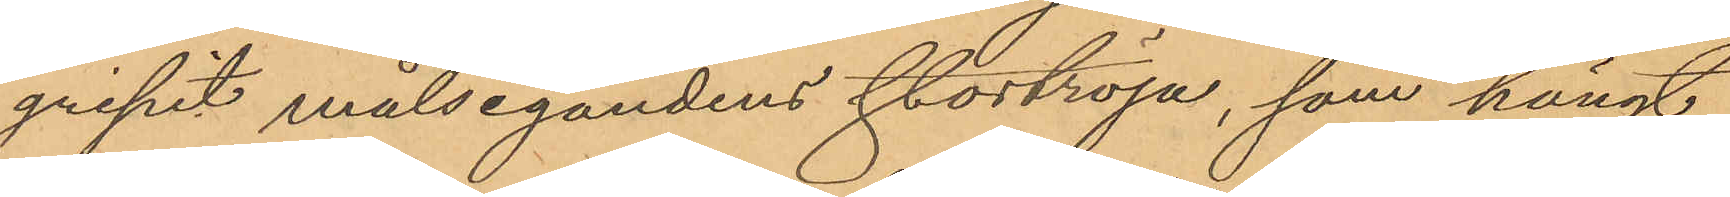gripit målsegandens stortröja, som hängt
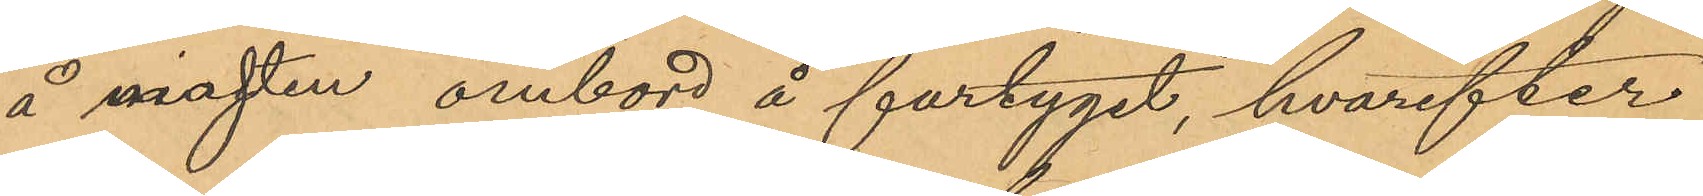å masten ombord å fartyget, hvarefter
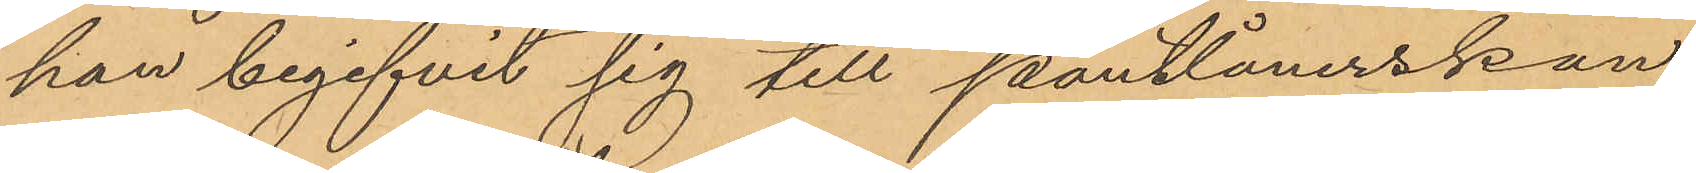han begifvit sig till pantlånerskan
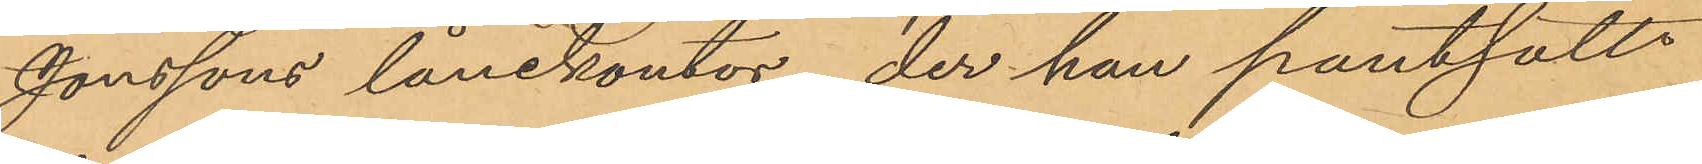Jonssons lånekontor, der han pantsatt
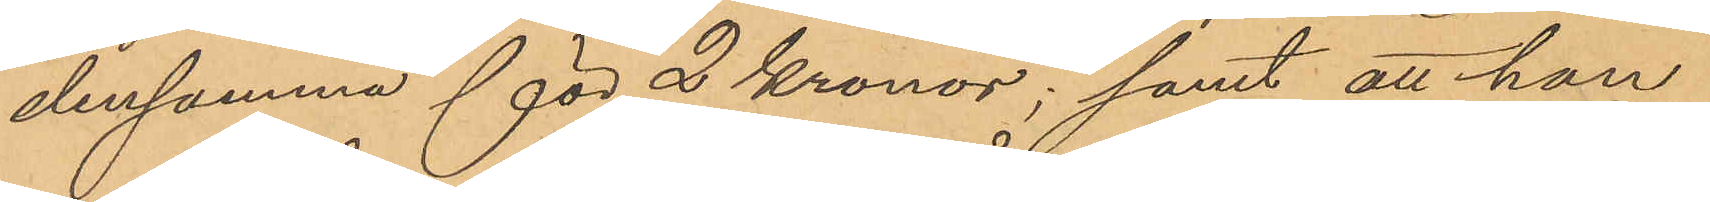densamma för 2 kronor; samt att han
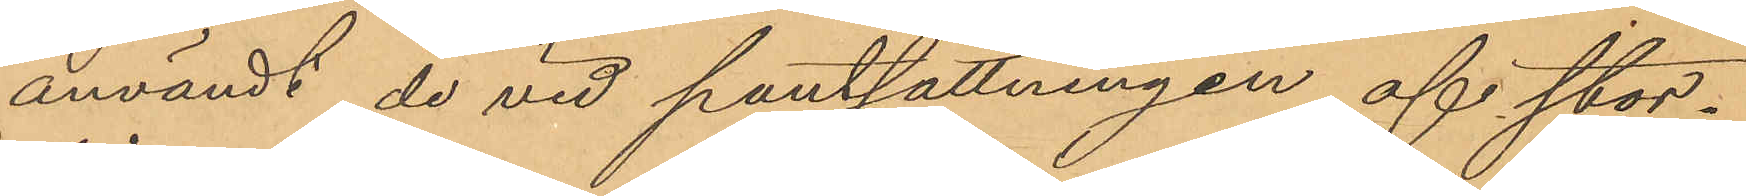användt de vid pantsättningen af stor¬
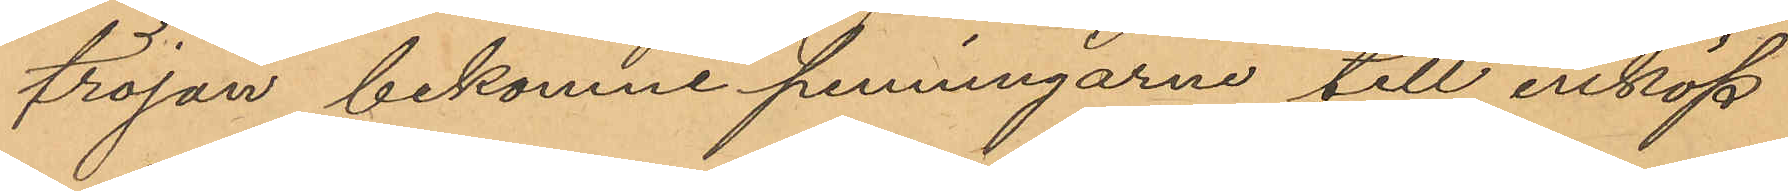tröjan bekomne penningarne till inköp
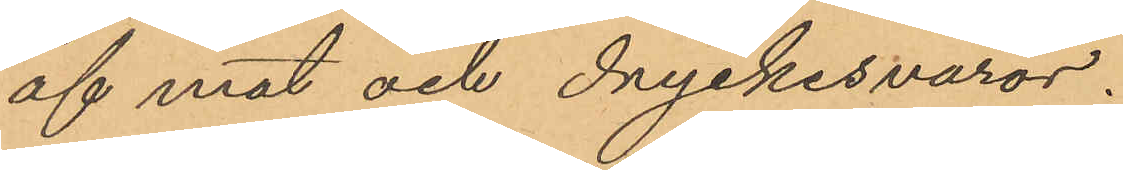af mat och dryckesvaror.
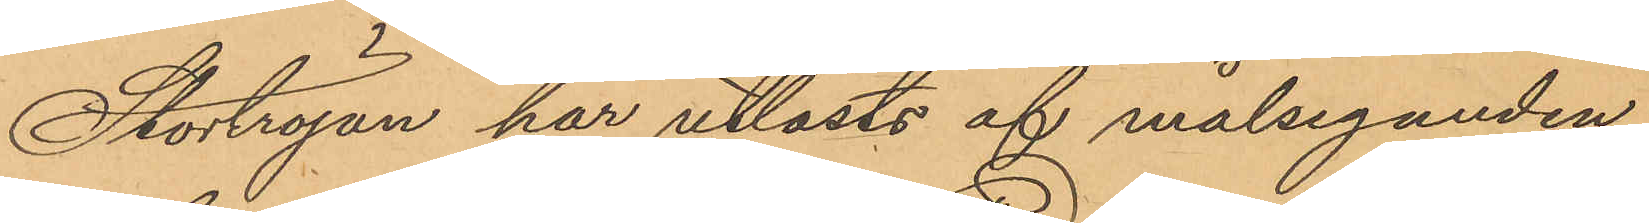Stortröjan har utlösts af målseganden.
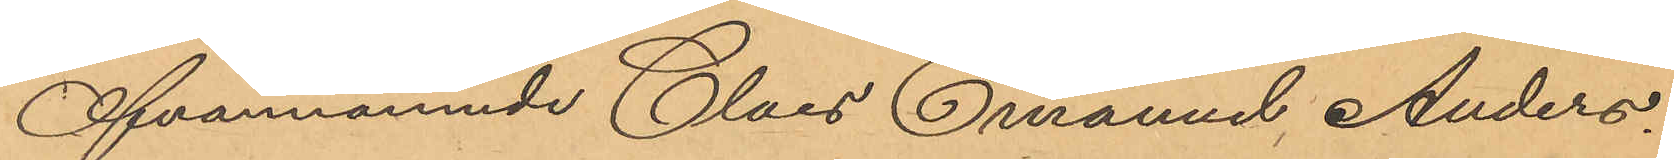Ofvannämnde Claes Emanuel, Anders¬
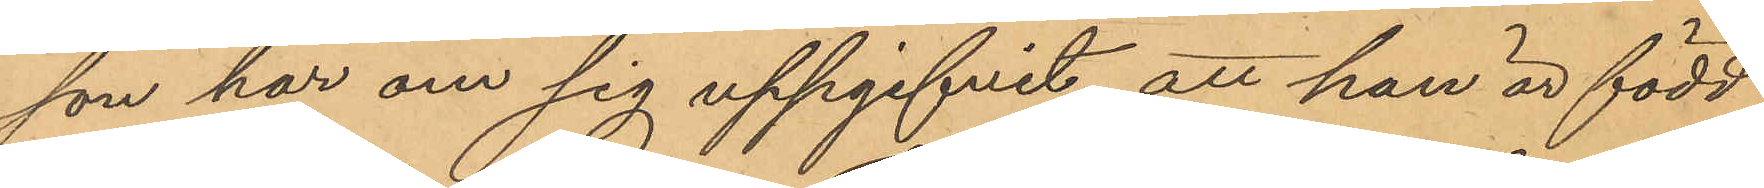son har om sig uppgifvit att han är född
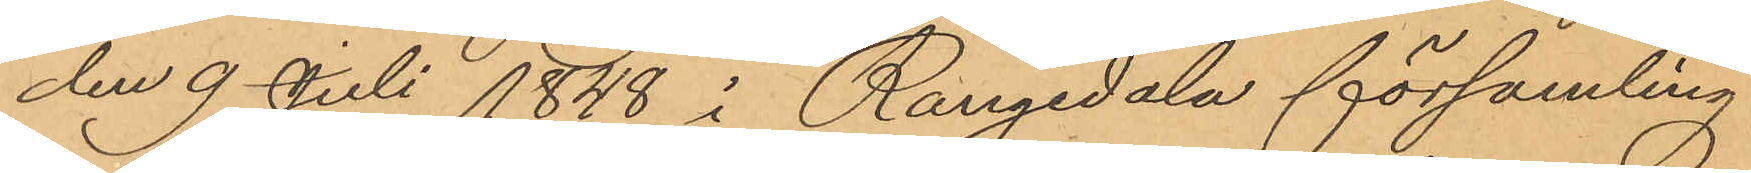den 9 Juli 1848 i Rongedala församling
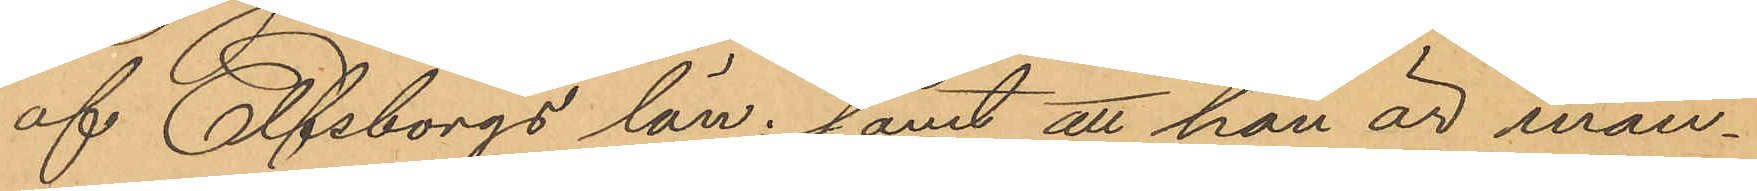af Elfsborgs län; samt att han är man¬
